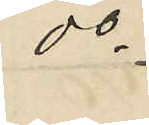do
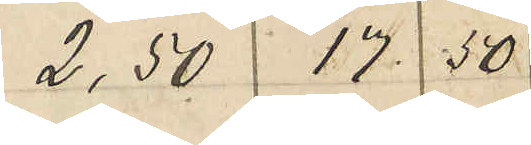2,50 17 50
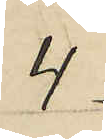4
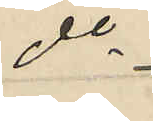do
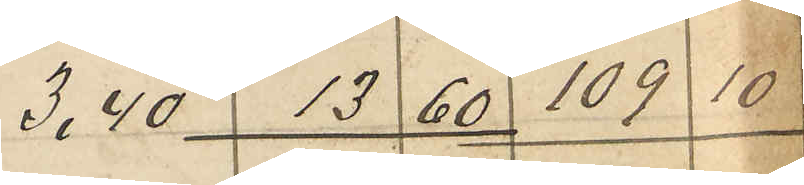3.40 13 60 109 10
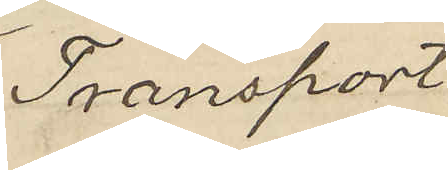Transport
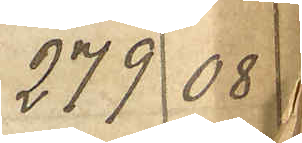379 08
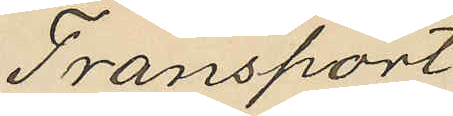Transport
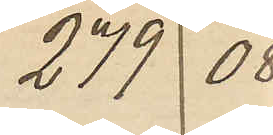279 08
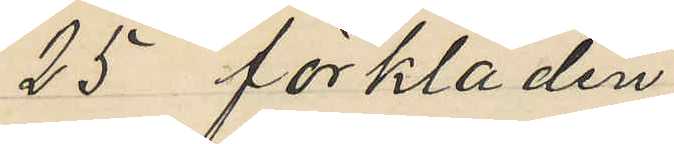25 förkläden
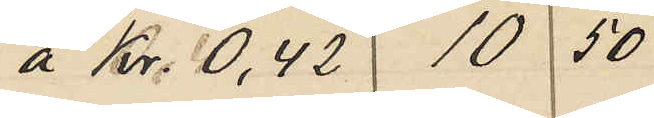 Kr. 0,42 10, 0
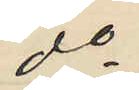do
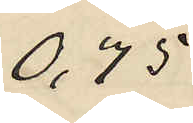0,75
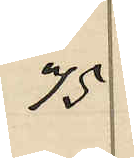75
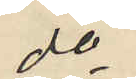do
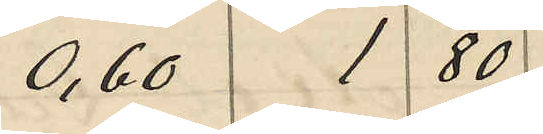0,60 1 80
